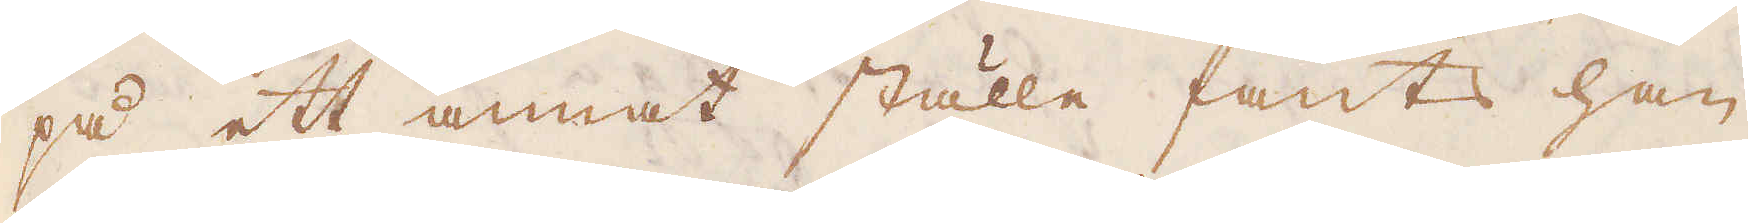på ett annat ställe fants han
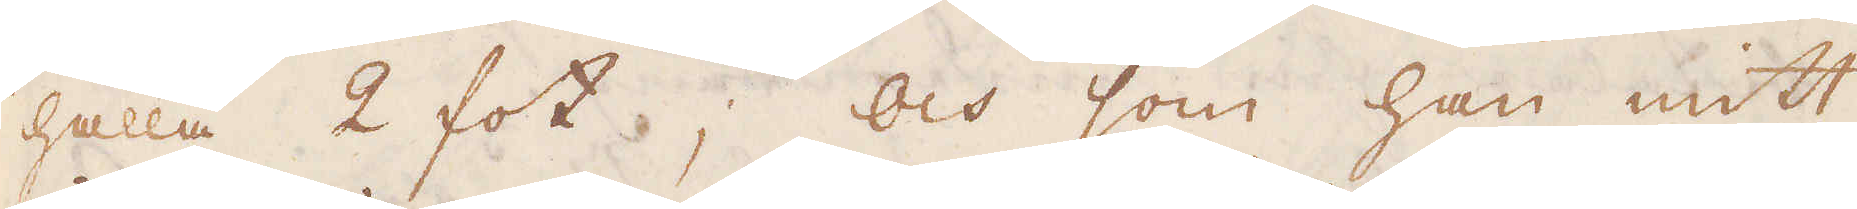hålla 2 fot; och som han mitt
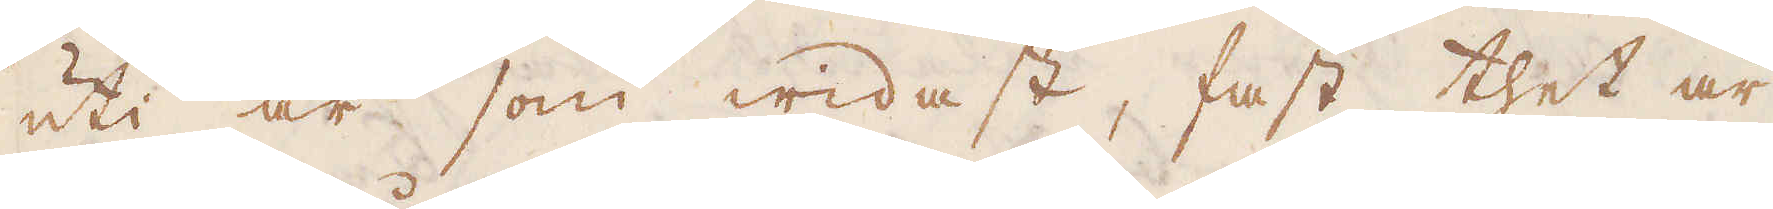uti är som widast, fast thet är
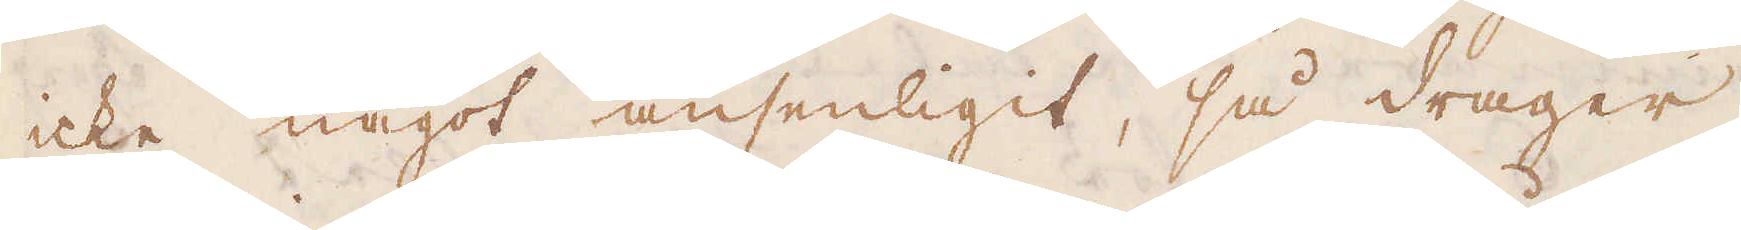icke något ansenligit, så drager
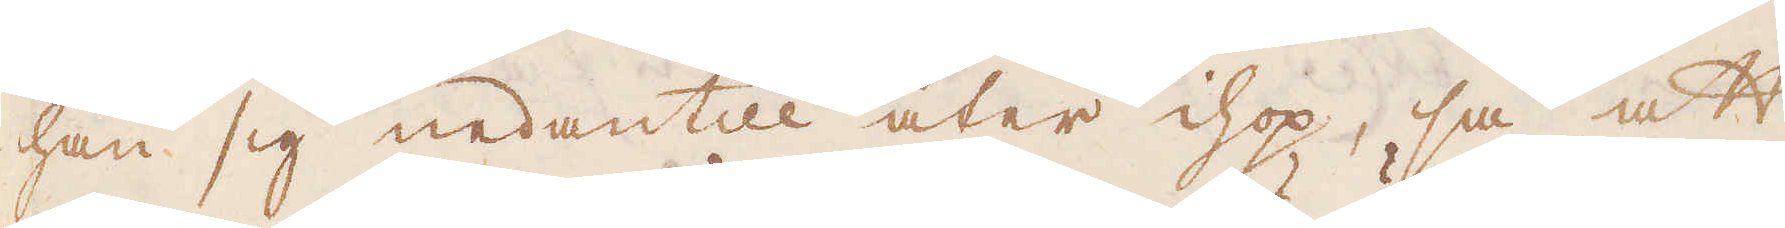han sig nedantill åter ihop, så att
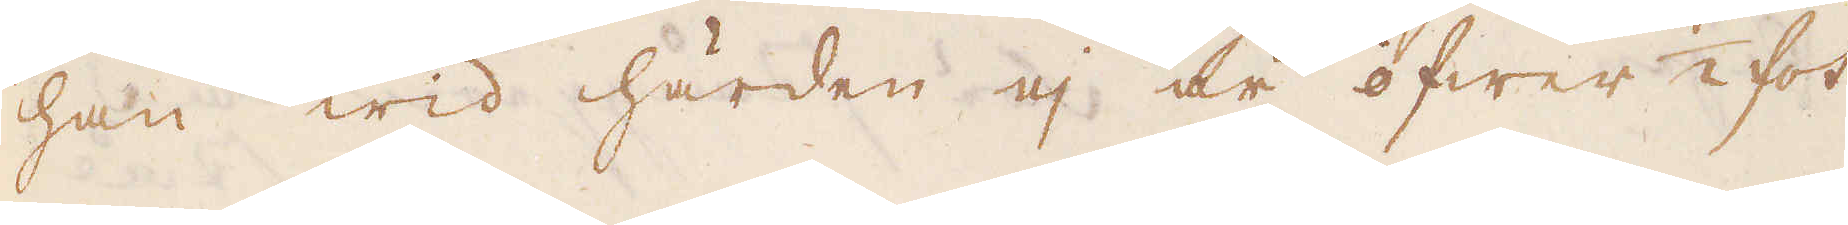han wid härden ej är öfwer 1/2 fot
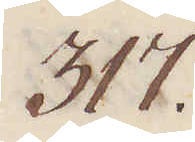317.
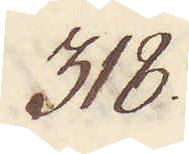318.
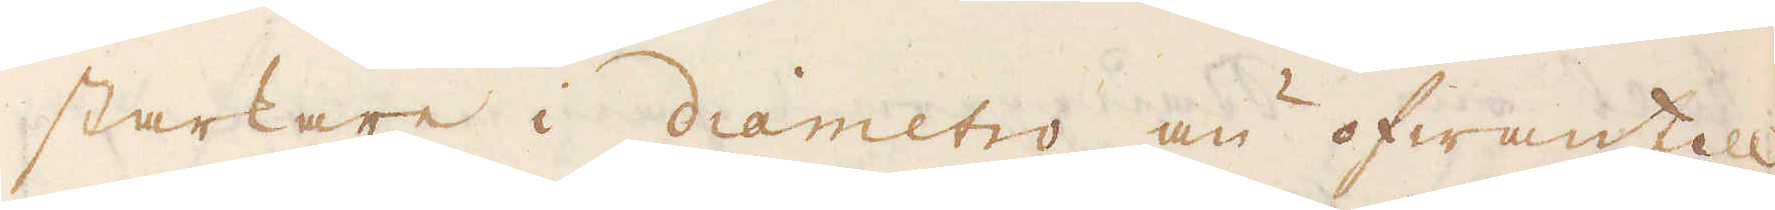starkare i diametro än ofwantill.
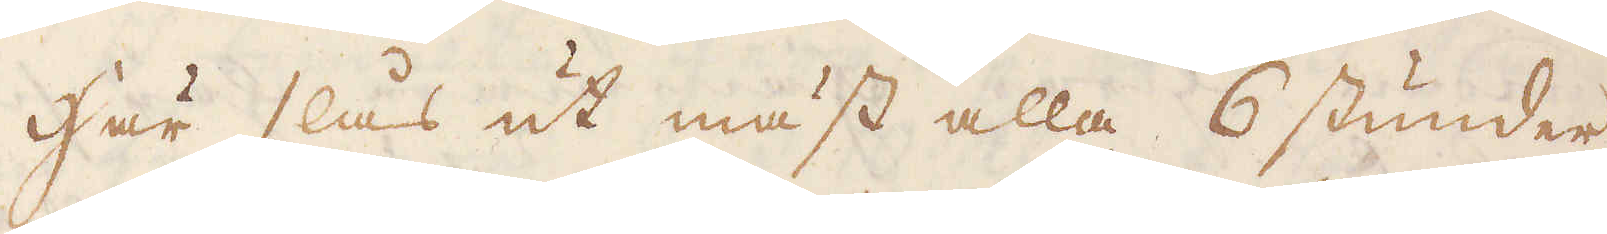Här slås ut mäst alla 6 stunder,
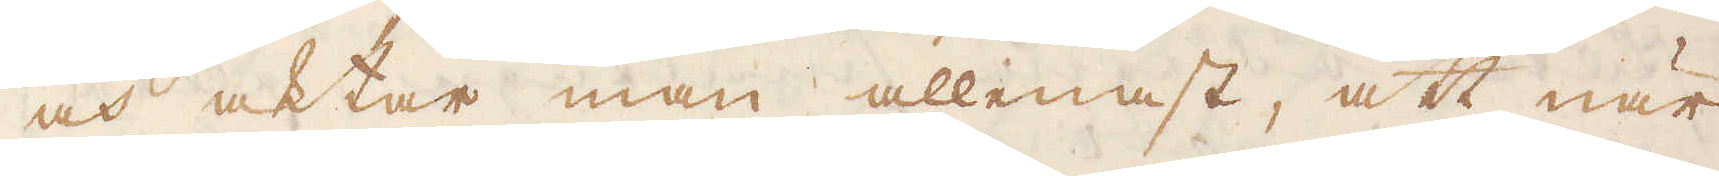och aktar man allenast, att när
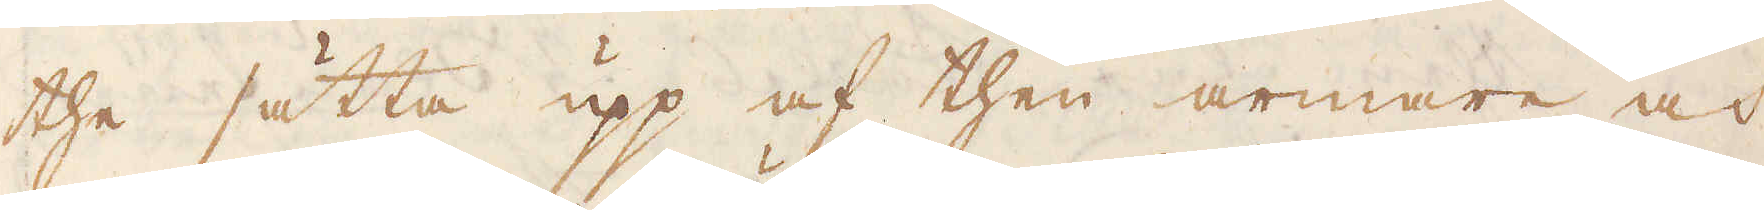the sätta upp af then armare och
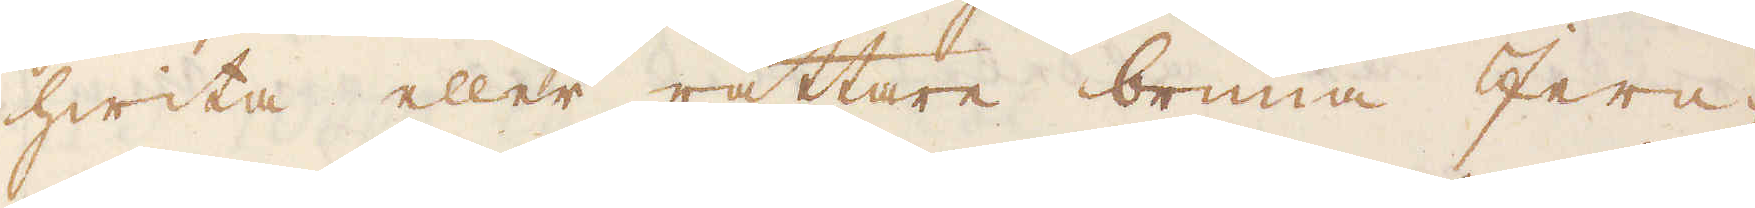hwita eller rättare brunna Jern-
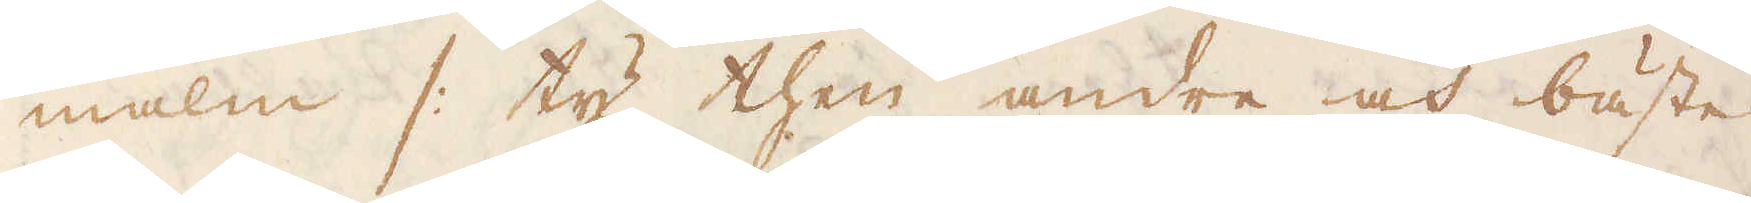malm /: ty then andre och bäste
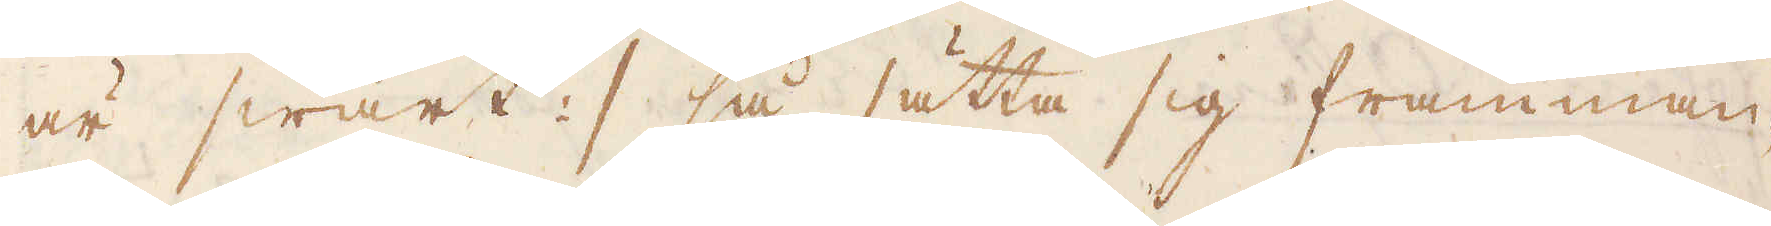är swart :/ så sätta sig framman-
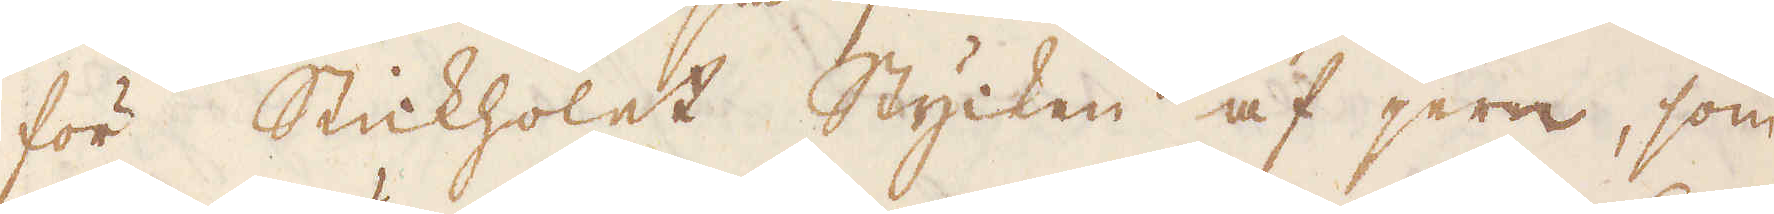för Stickholet Stycken af jern, som
